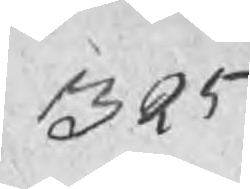325
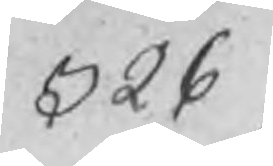326
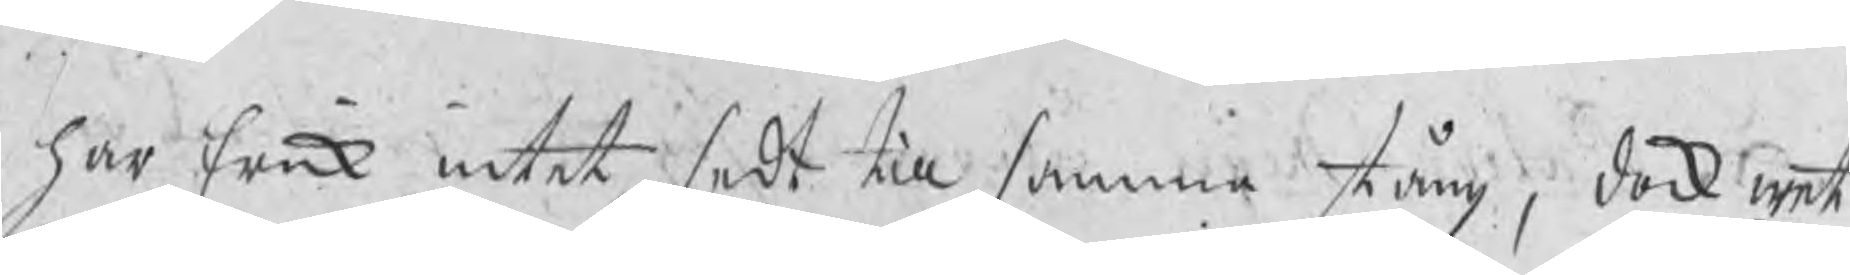har Erik intet sedt till samma stång, dock wet
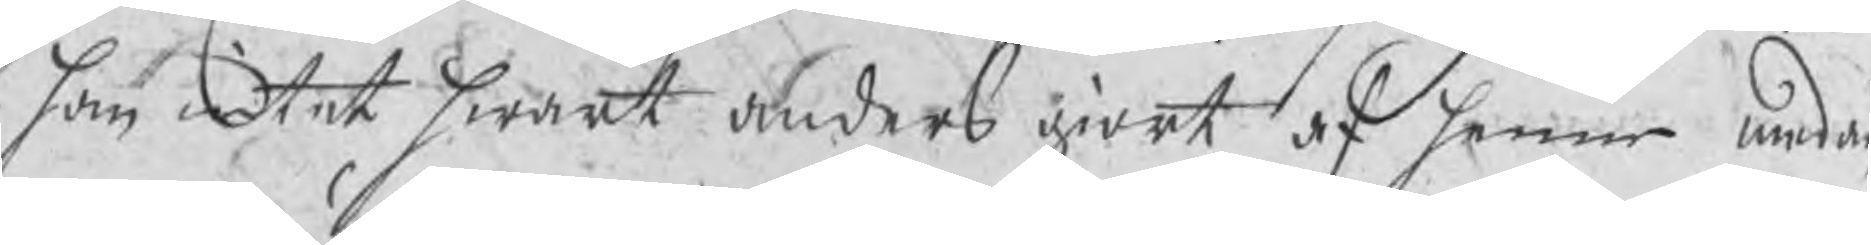han intet hwart Anders giort af henne medan
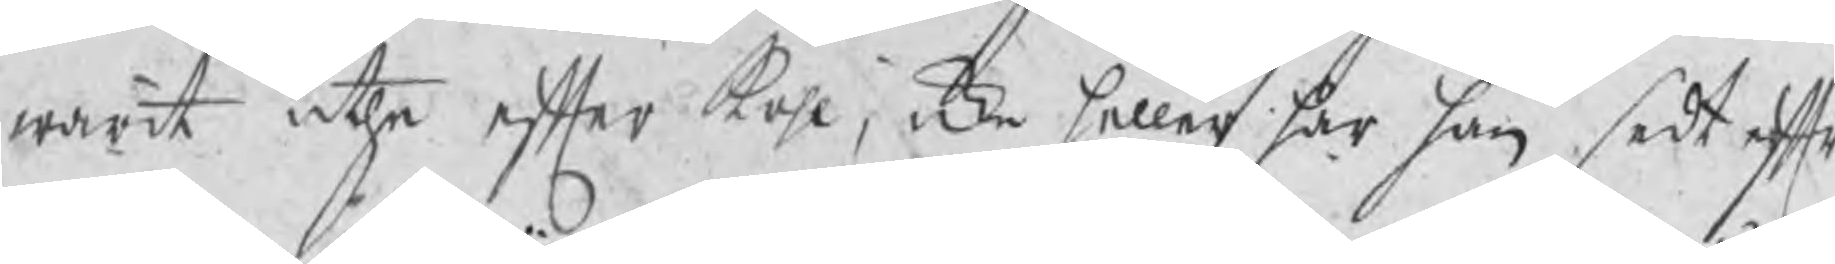warit uthe efter kohl, icke heller har han sedt eftr
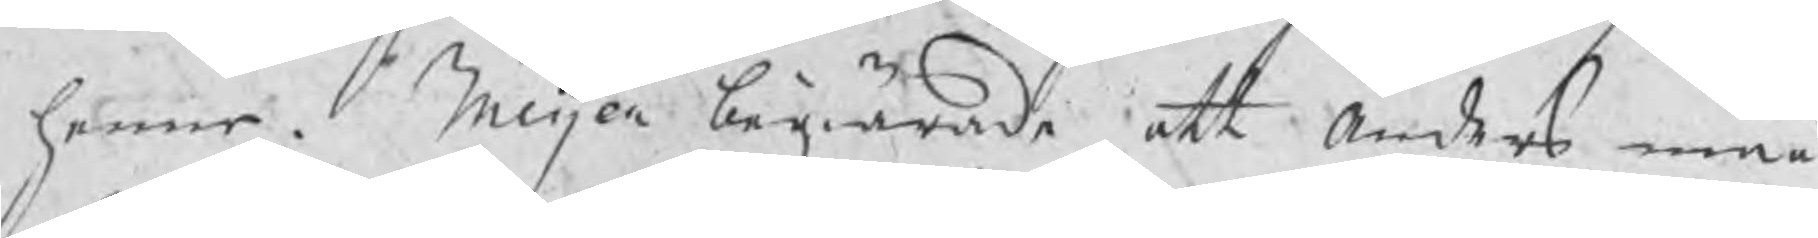henne. Meijer begiärde att Anders måå
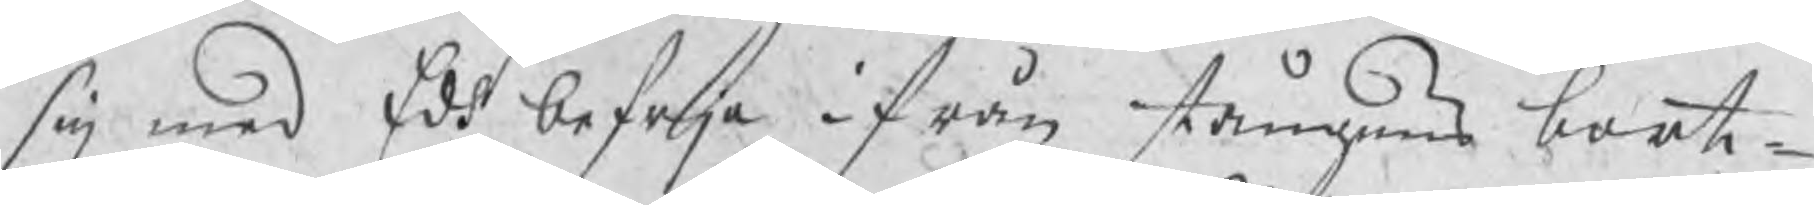sig med Eds befrja ifrån stångens bort¬
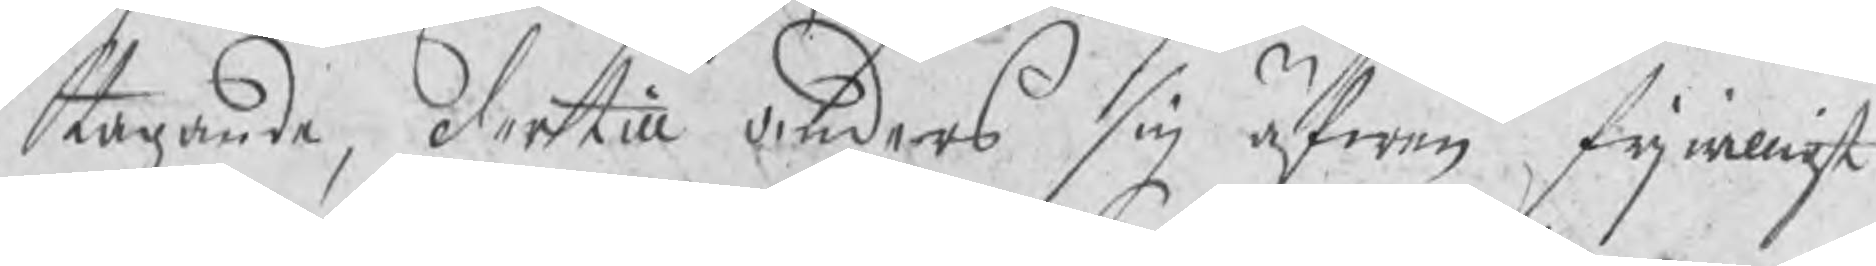tagande, dertill Anders sig äfwen frjwilligt
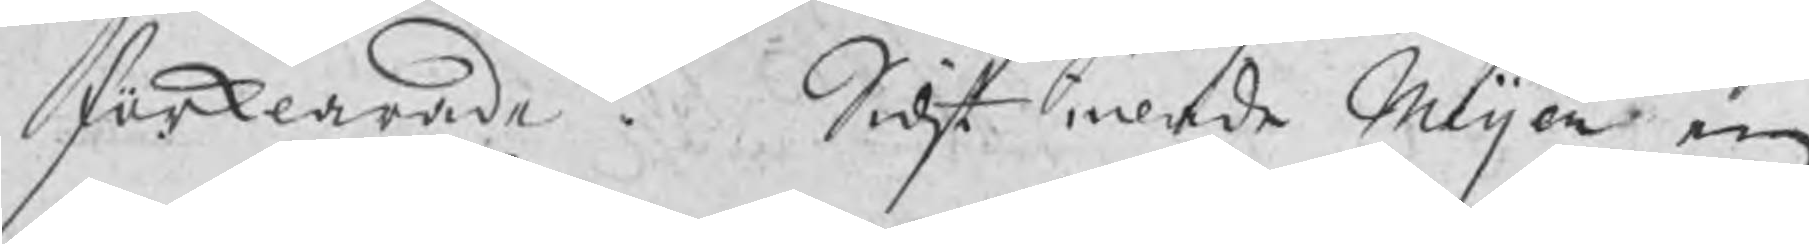förklarade. Sidst inlade Meijer en
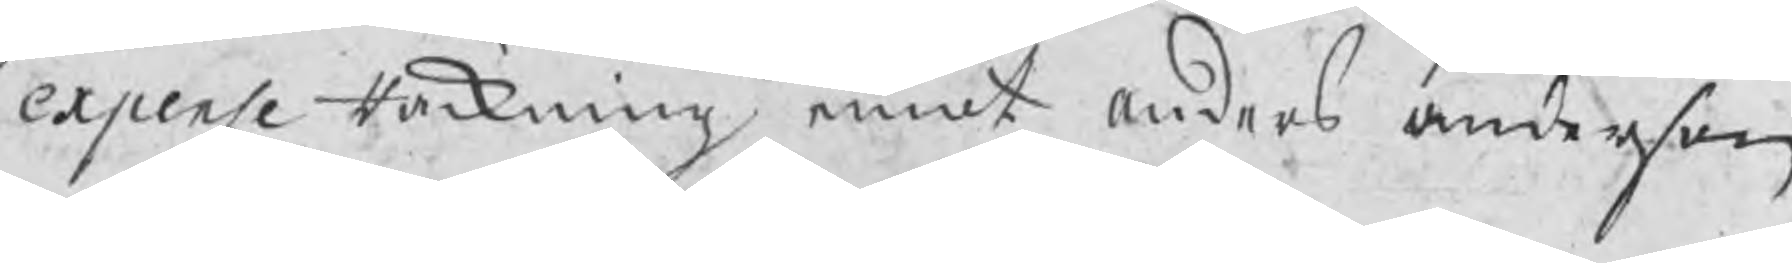expense Räkning emot Anders Anderson
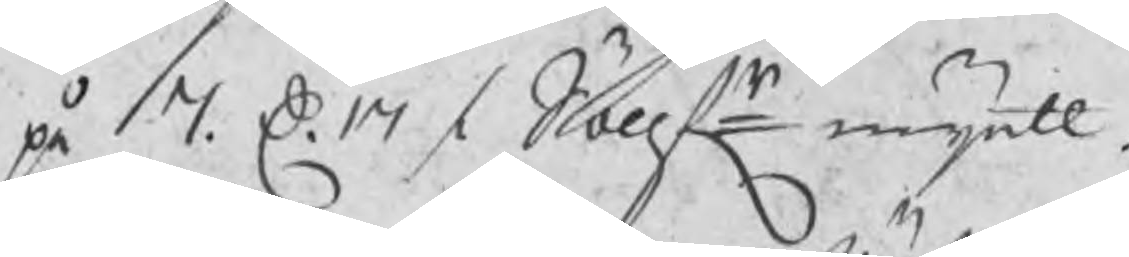på 7. D. 17 / Söllfr myntt.
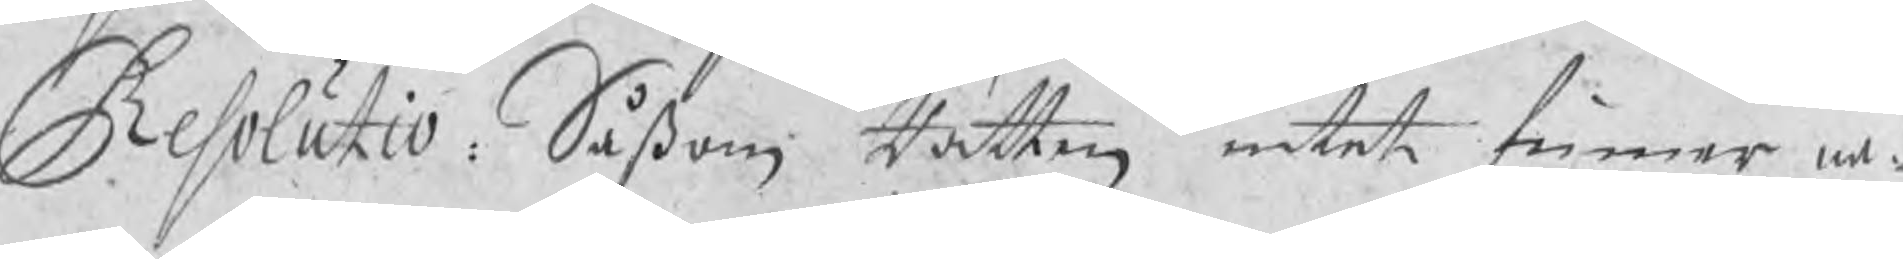Resolutio: Såßom Rätten intet finner nå¬
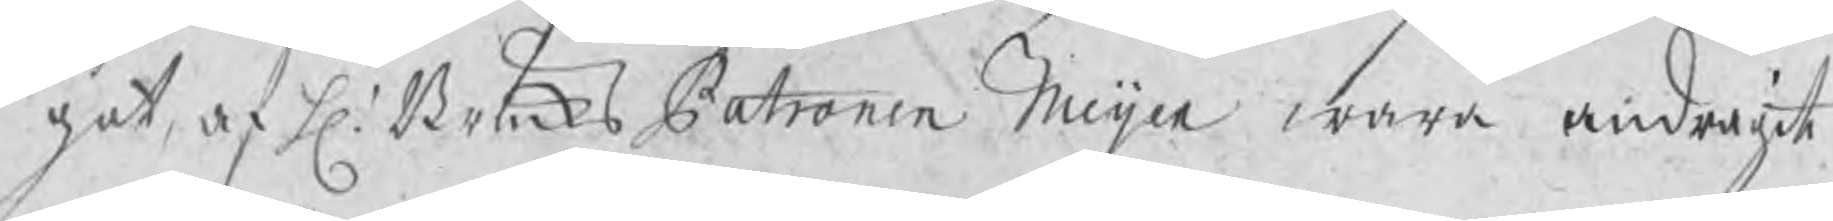got af H. Bruks Patronen Meijer wara andragit
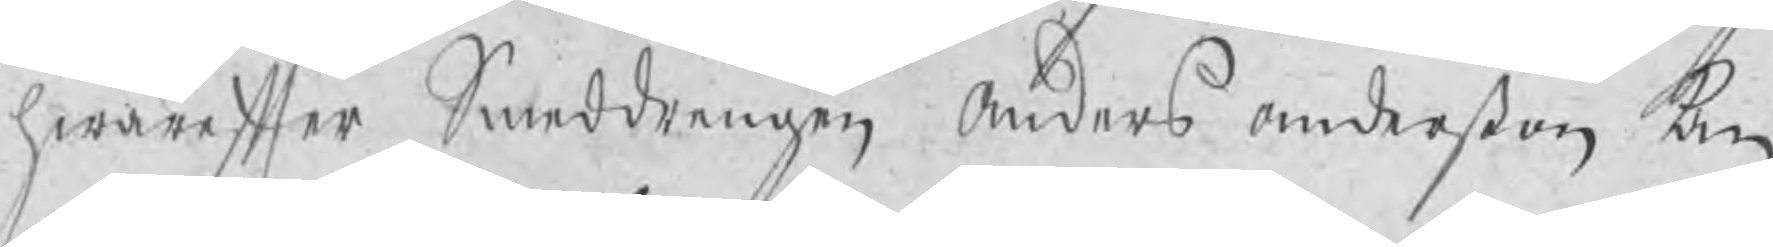hwarefter Smeddrengen Anders Anderßon kan
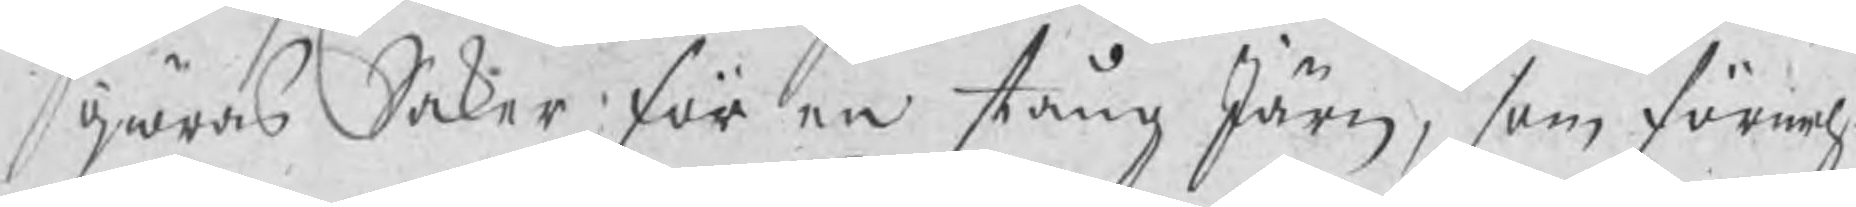giöras Saker för en stång Järn, som förmeh¬
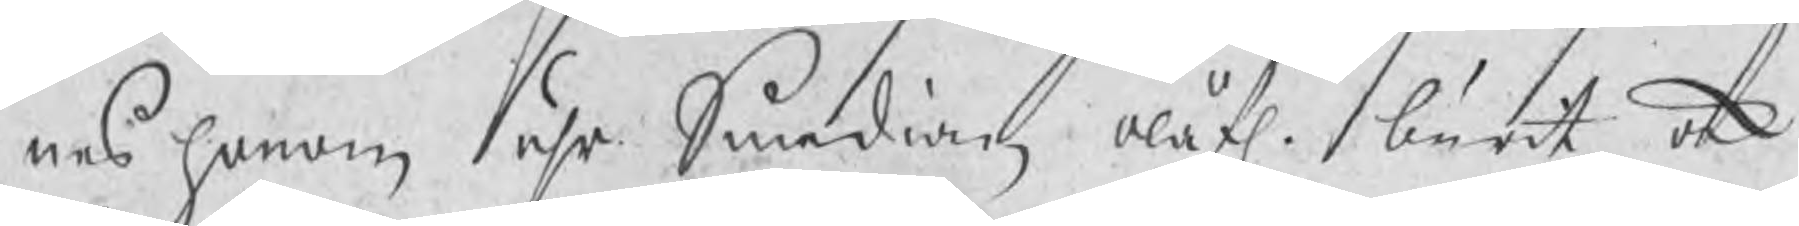nes honom uhr Smedian olåfl. burit ock
